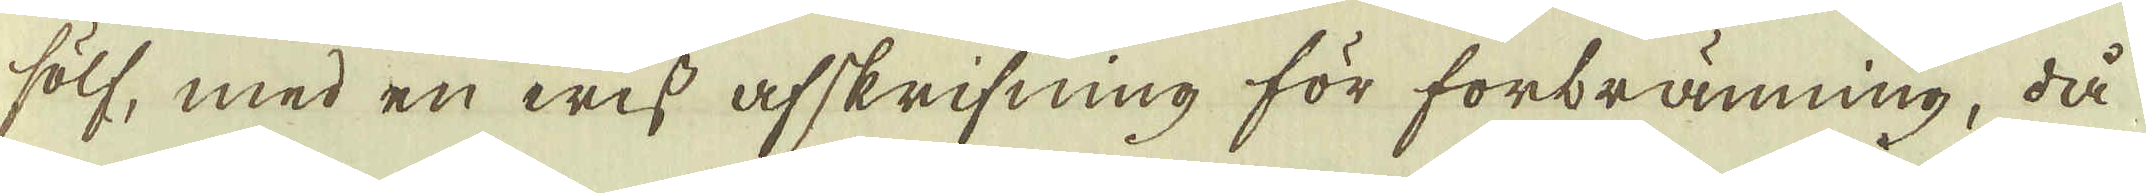sölf, med en wiss afskrifning för forbränning, då
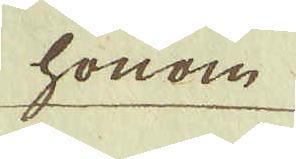honom
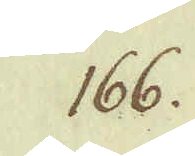166.
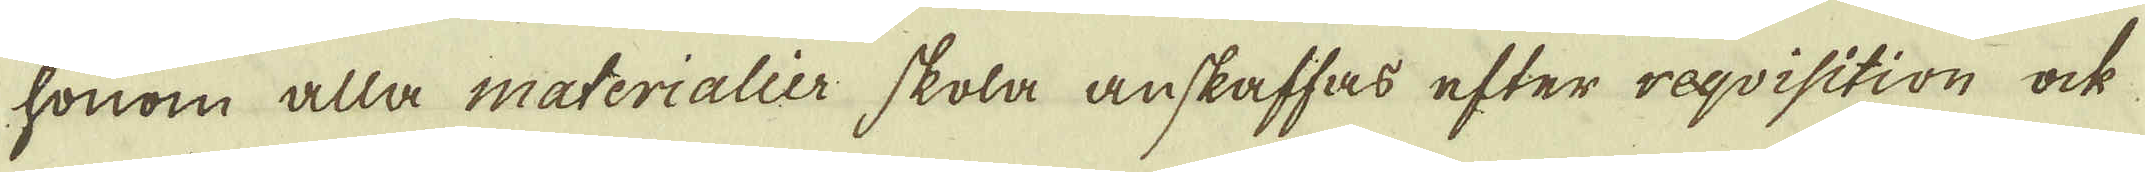honom alla materialier skola anskaffas efter reqvisition ock
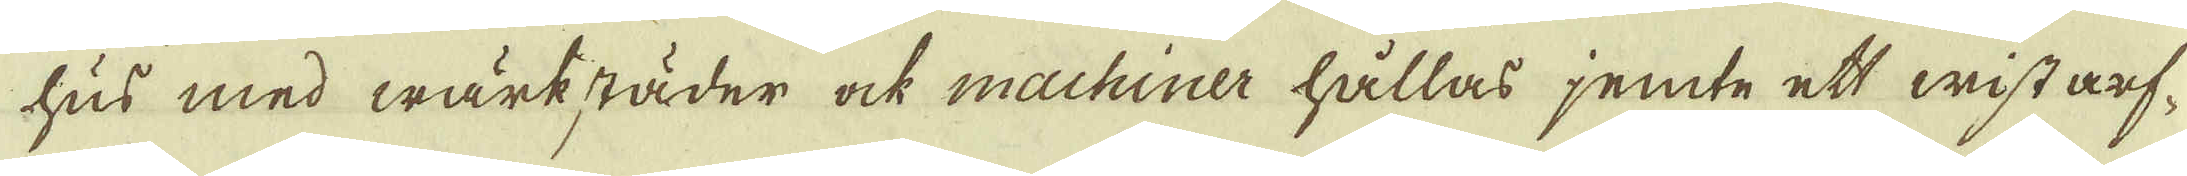hus med wärkstäder ock machiner hållas jemte ett wist arf-
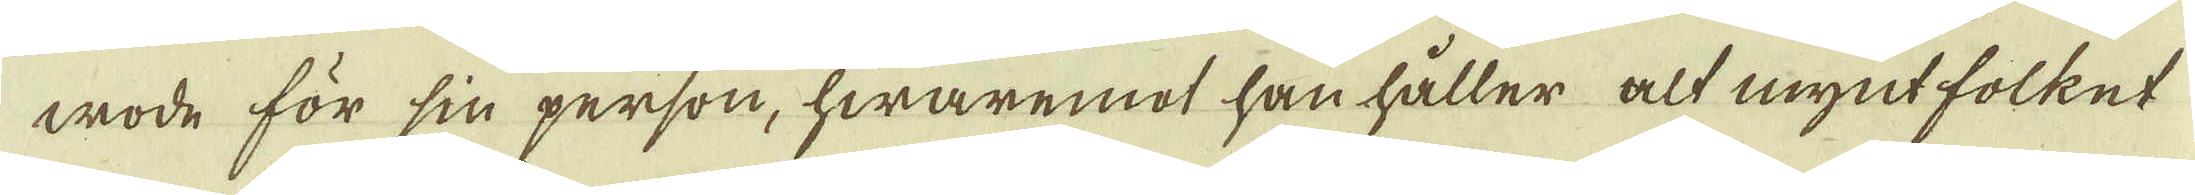wode för sin person, hwaremot han håller alt mynt folket
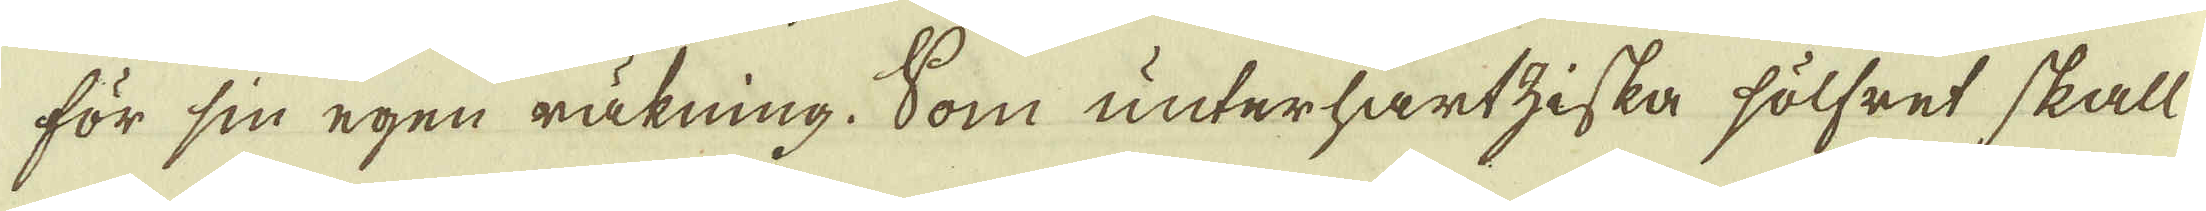för sin egen räkning. Som unterhartziska sölfret skall
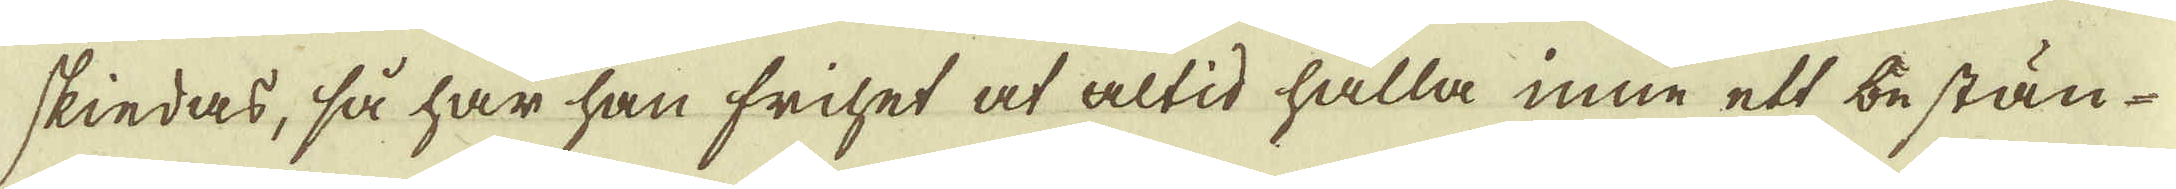skiedas, så har han frihet at altid hålla inne ett bestän-
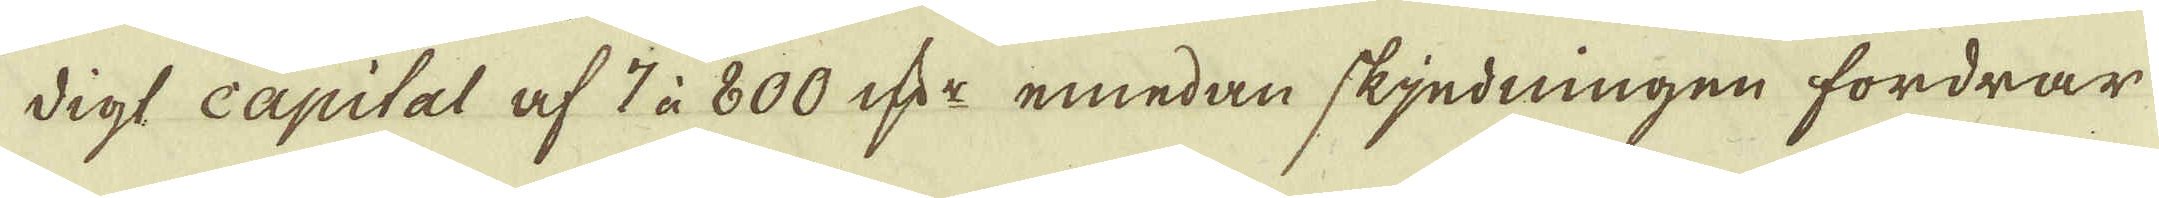digt capital af 7 à 800 qv:r emedan skjedningen fordrar,
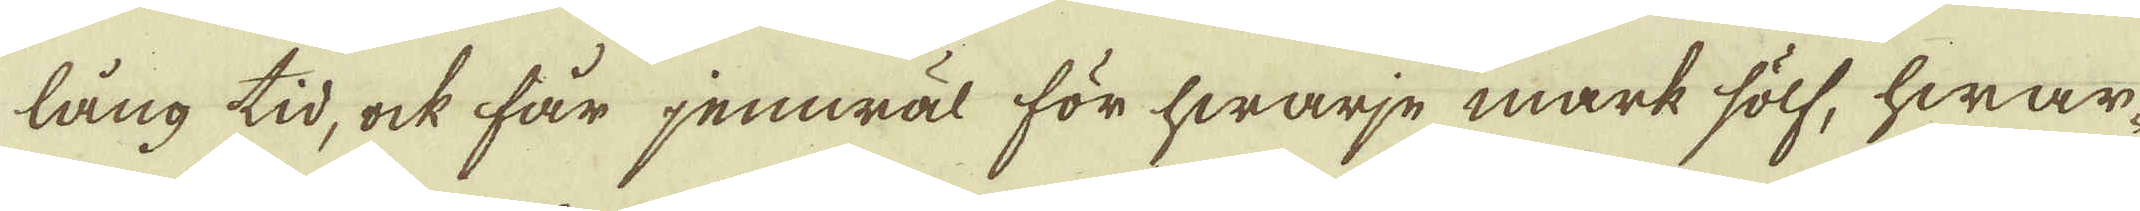lång tid, ock får jemwäl för hwarje mark sölf, hwar-
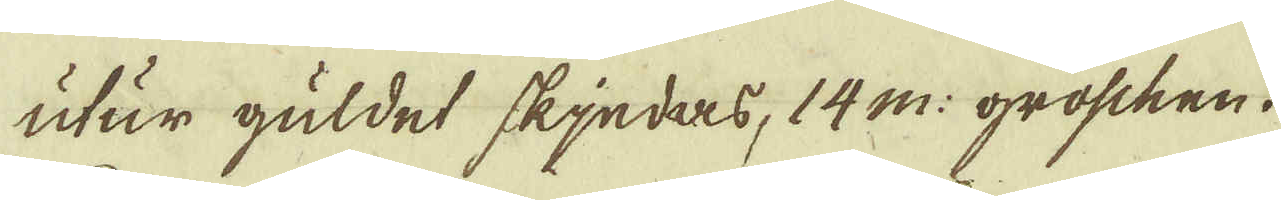utur guldet skjedas, 14 m: groschen.
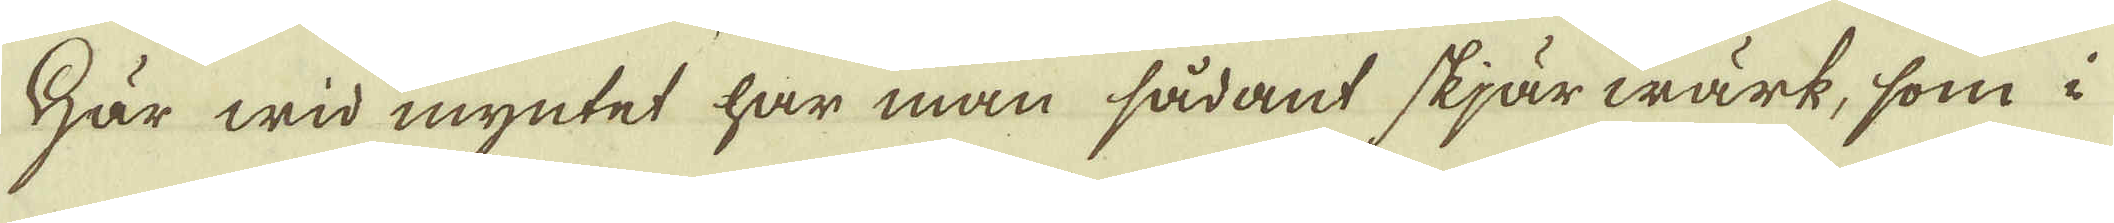Här wid myntet har man sådant skjärwärk, som i
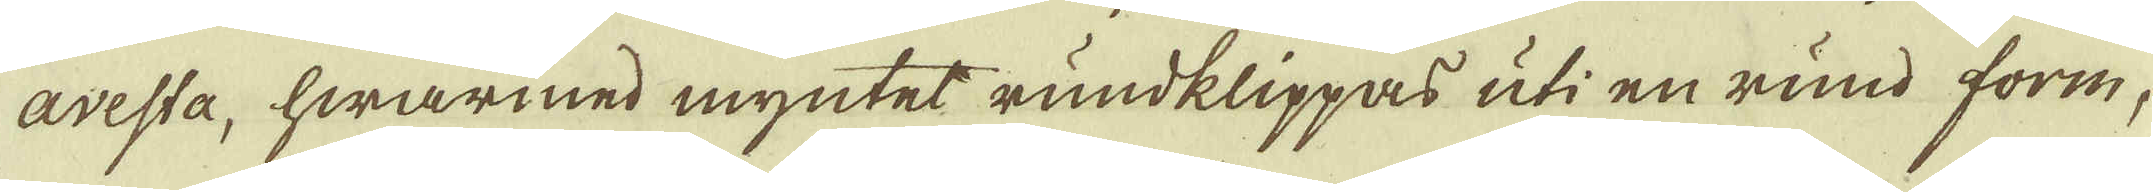avesta, hwarmed myntet rundklippas uti en rund form,
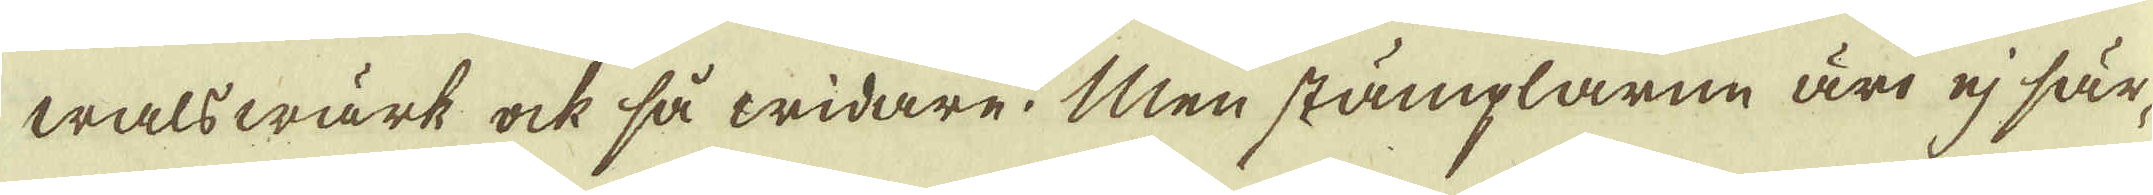walswärk ock så widare. Men stämplarne äro ej sär-
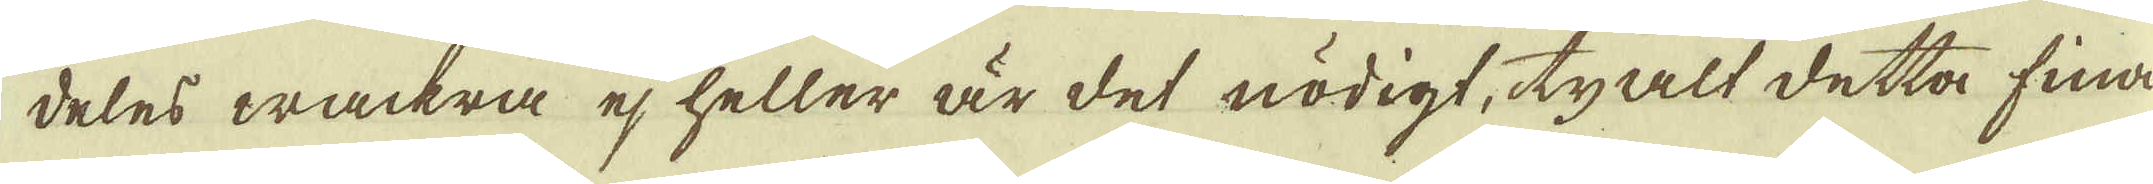deles wackra ej heller är det nödigt, ty alt detta fina
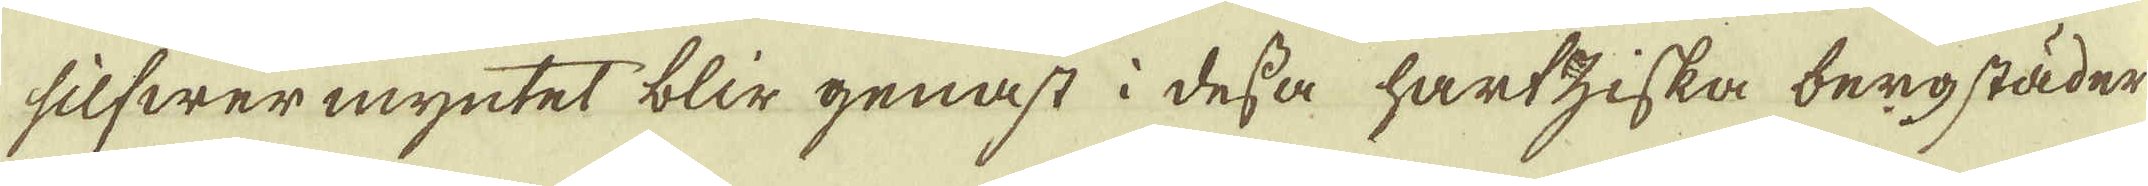silfwer myntet blir genast i dessa hartziska bergstäder
